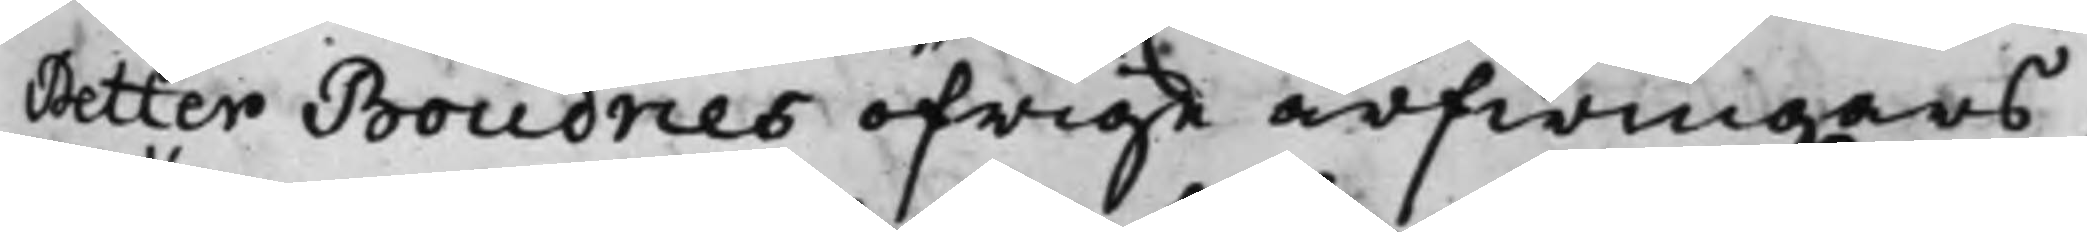Petter Boudries öfrige arfwingars
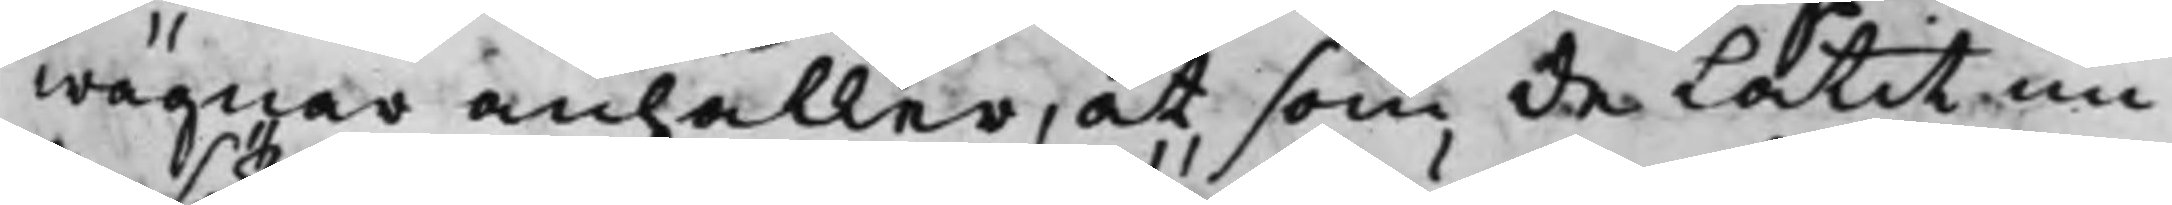wägnar anhåller, at som de Låtit un¬
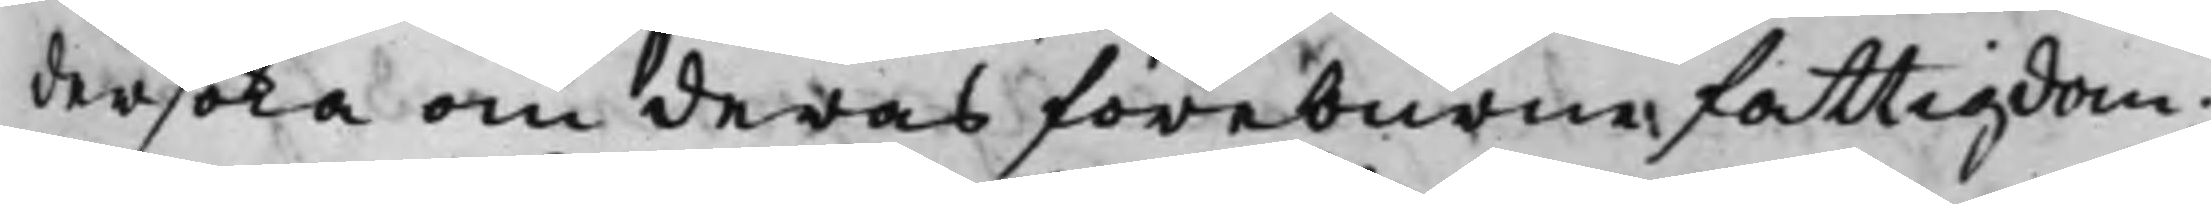dersöka om deras föreburen fattigdom;
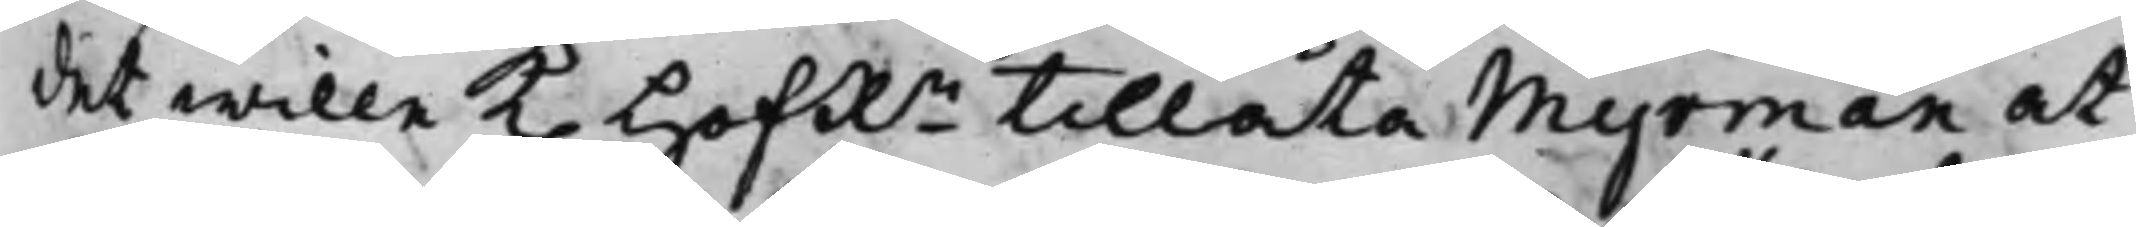det wille K. HofRn tillåta Myrman at
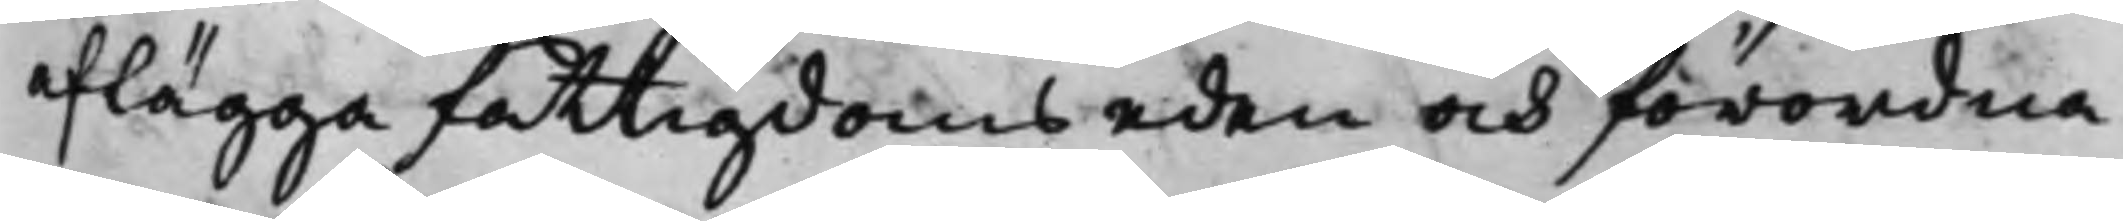aflägga fattigdomseden och förordna
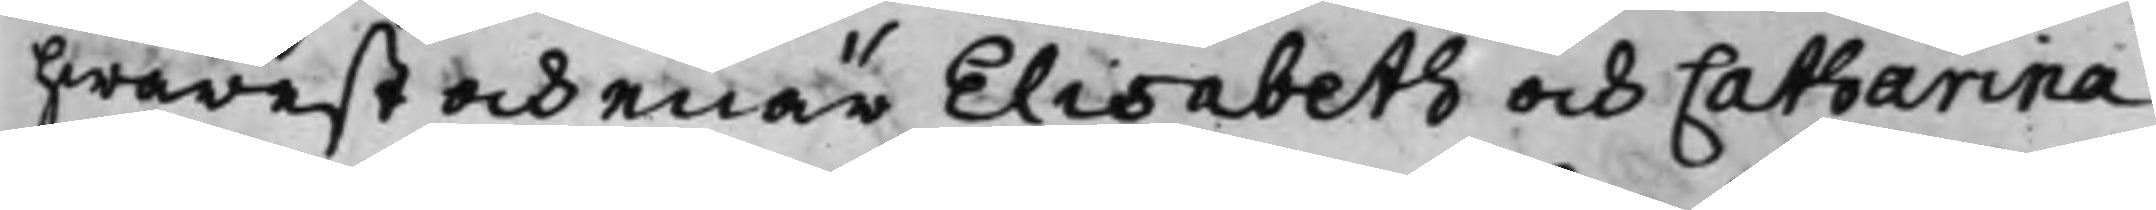hwarest och enär Elisabeth och Catharina
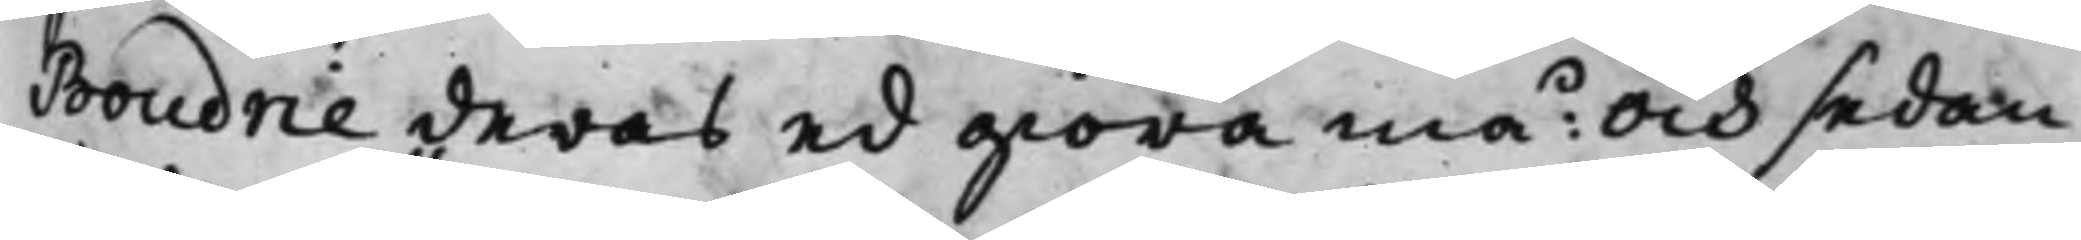Boudrie deras ed giöra må: Och sedan
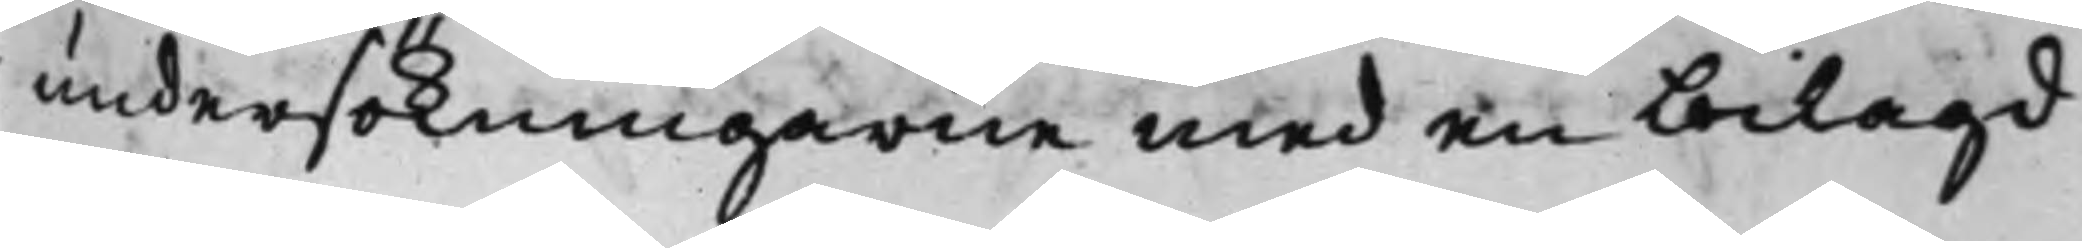undersökningarne med en bilagd
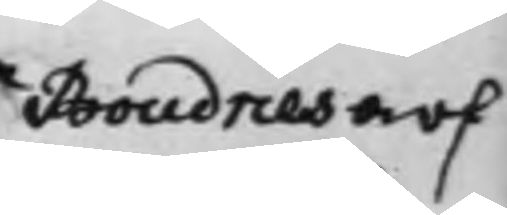Boudries arf¬
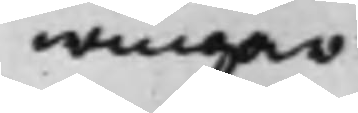wingar
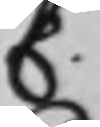C.
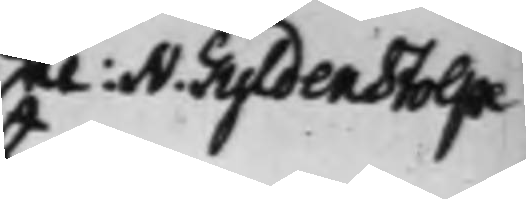U: N. Silfverstolpe
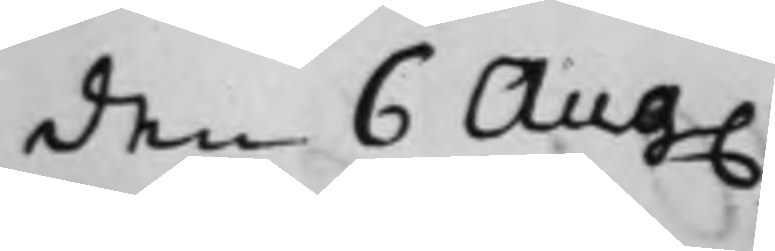den 6 Aug.
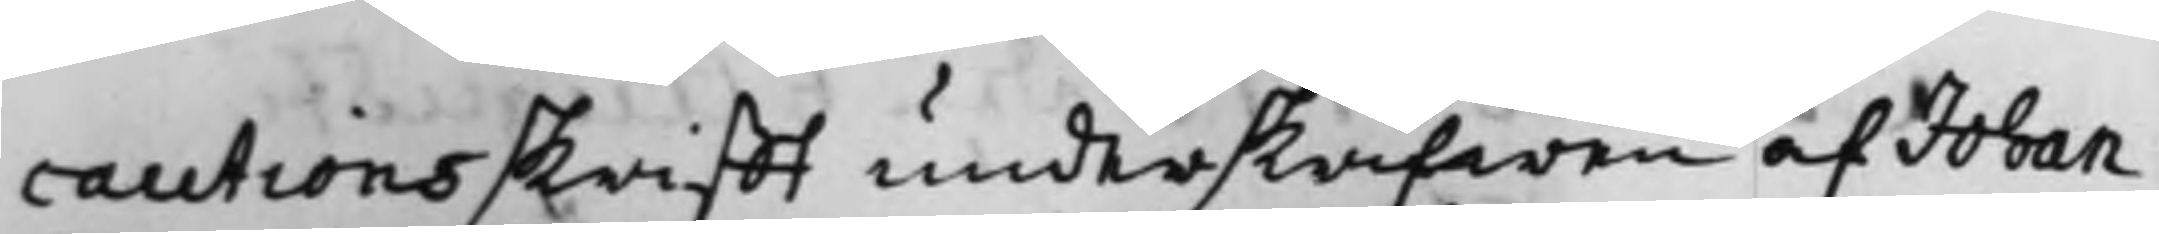cautionsskrifft underskrifwen af Johan
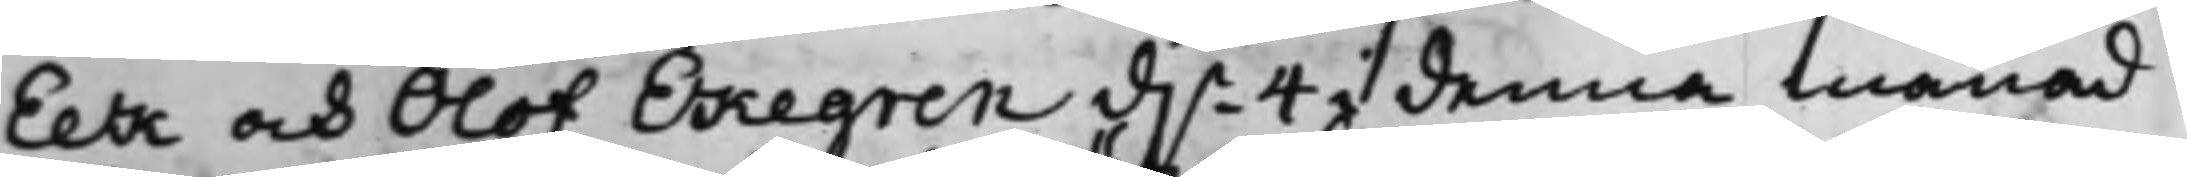Eek och Olof Ekegren d.n 4 i denna månad
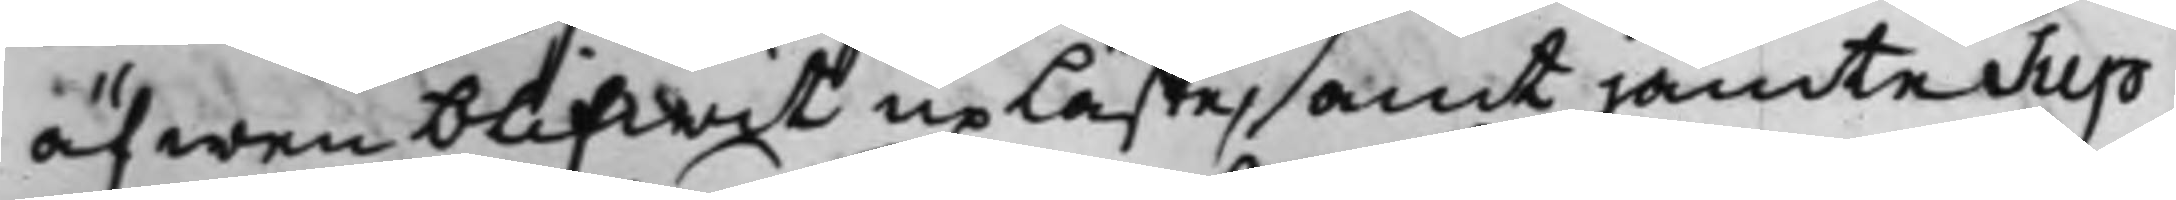äfwen blifwit upläste, samt jämte Sup¬
